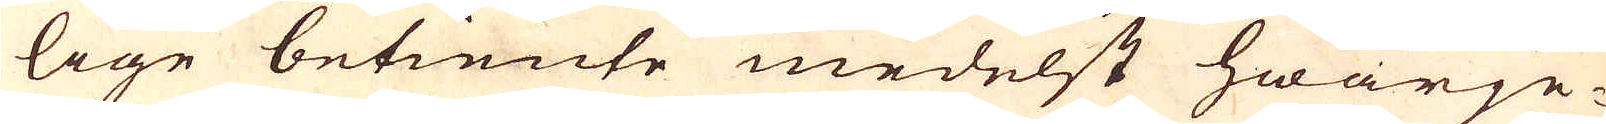lige betiente medelst hwarje-
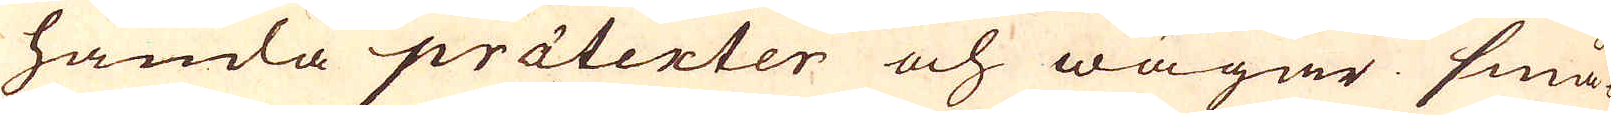handla prätenter och wägar små-
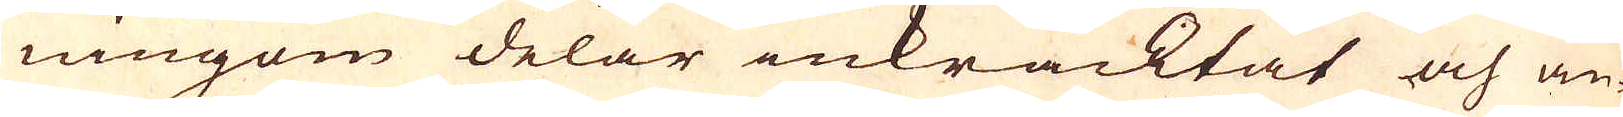ningom delar inkräcktat och än-
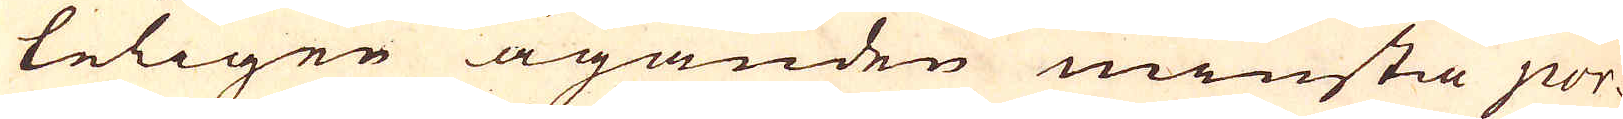teligen äganden minstia por-
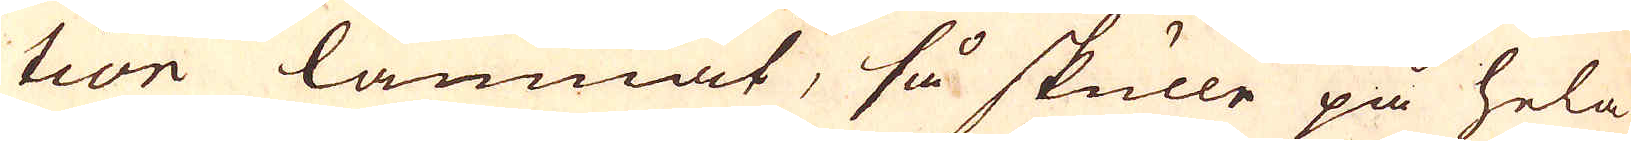tion lämnat, så skulle på hela
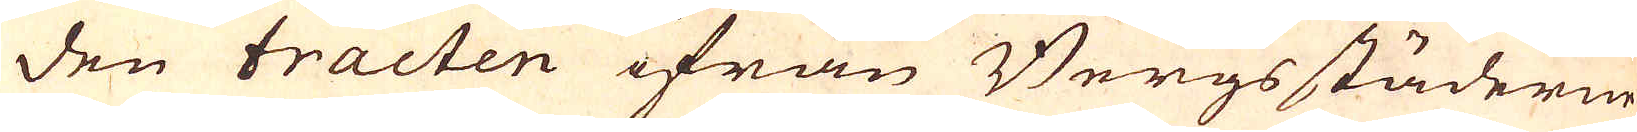den tracten ifrån Bergsstäderne
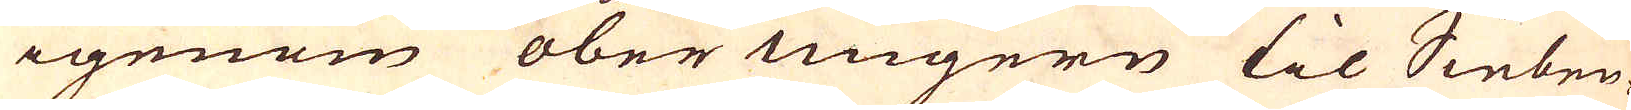igenom ober Ungern til Sieben-
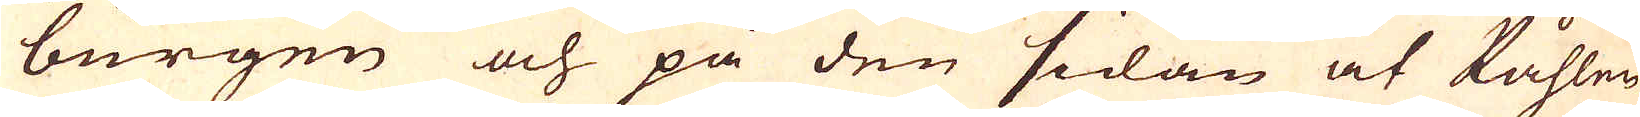burgen och på den sidan at Påhlen
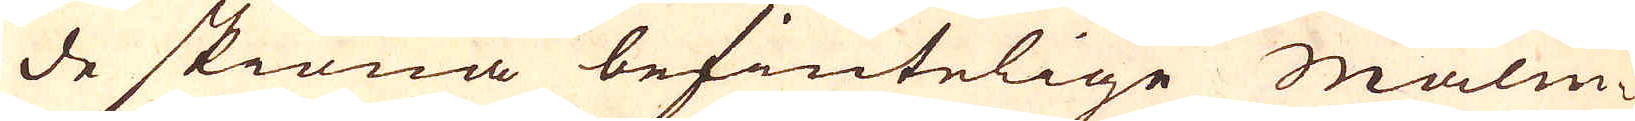de skiöna befintelige malm-
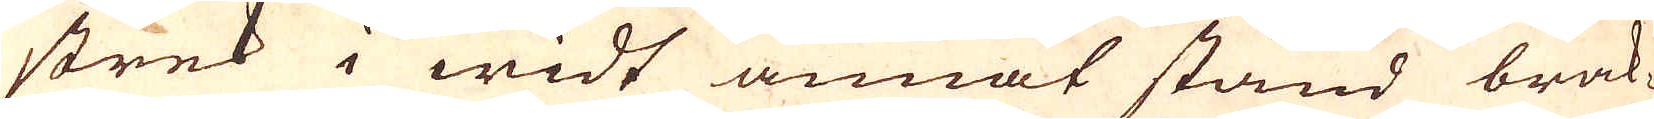strek i widt annat stånd brak-
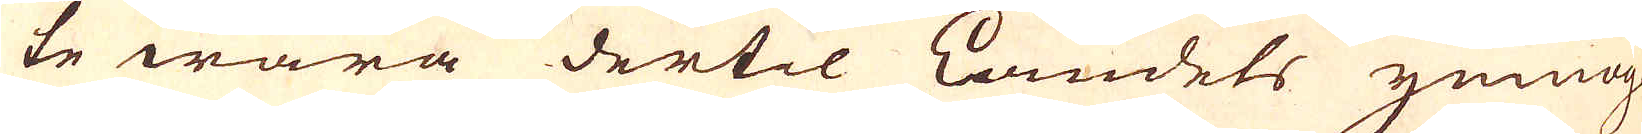te wara dertil lamdets ymnog-
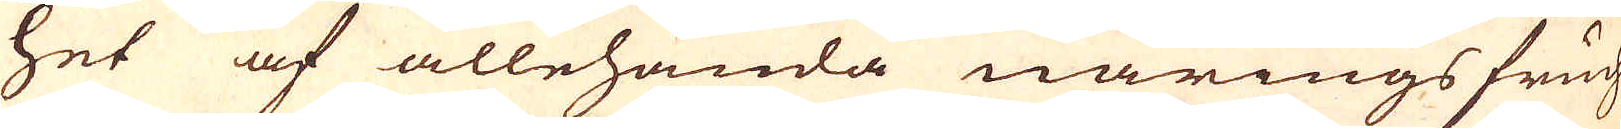het af allehanda närings fruch-
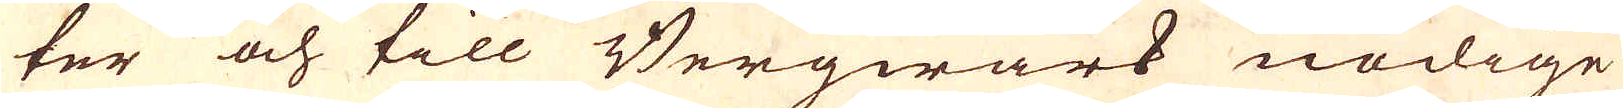ter och till Bergwärk nödige
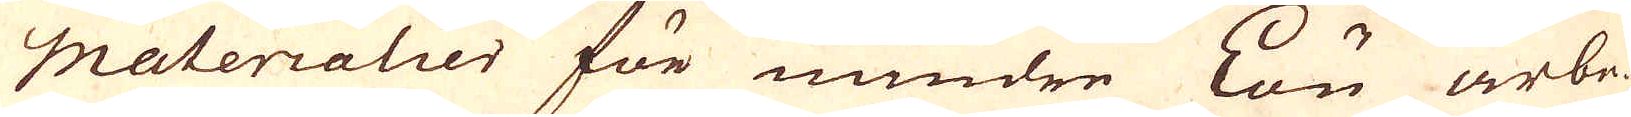Materialier för mindre Lön arbe-
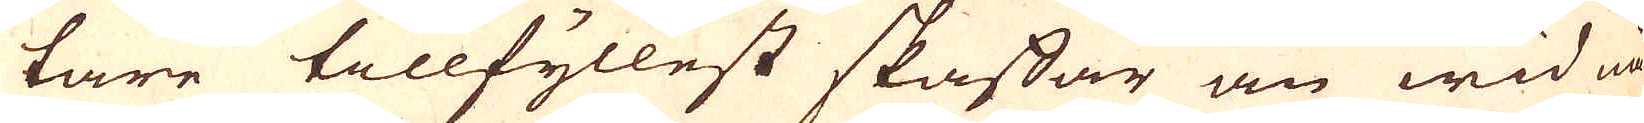tare tillfyllest skaffar än wid nå-
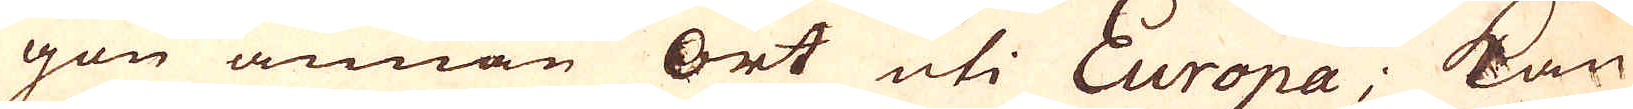gon annan ort uti Europa; kan
